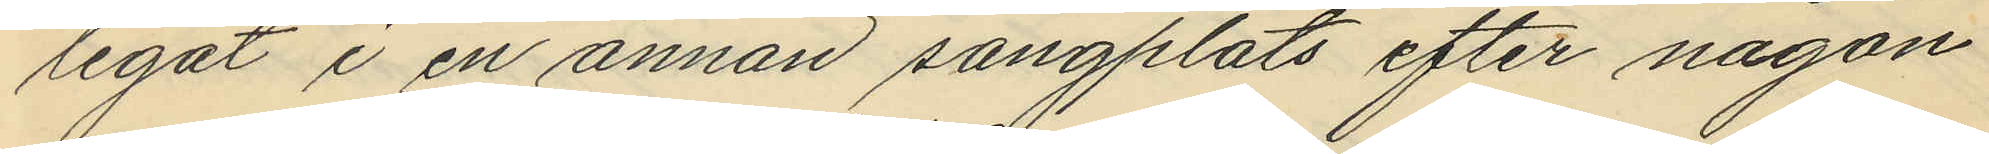legat i en annan sängplats efter någon
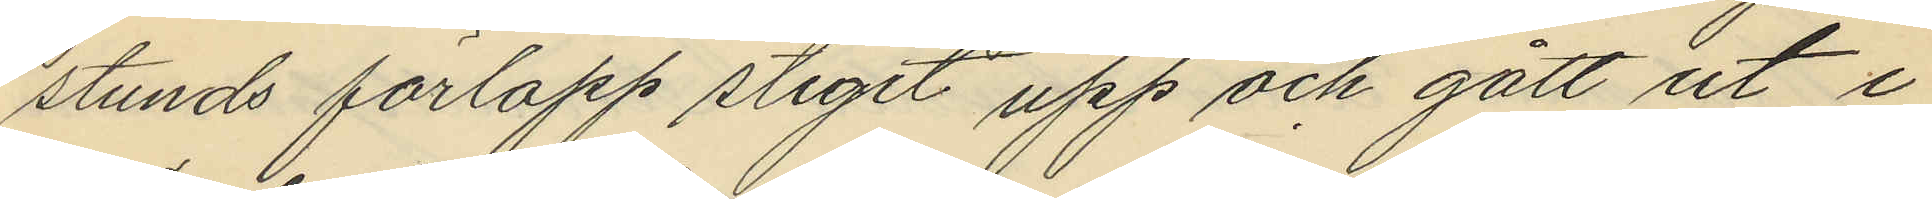stunds förlopp stigit upp och gått ut i
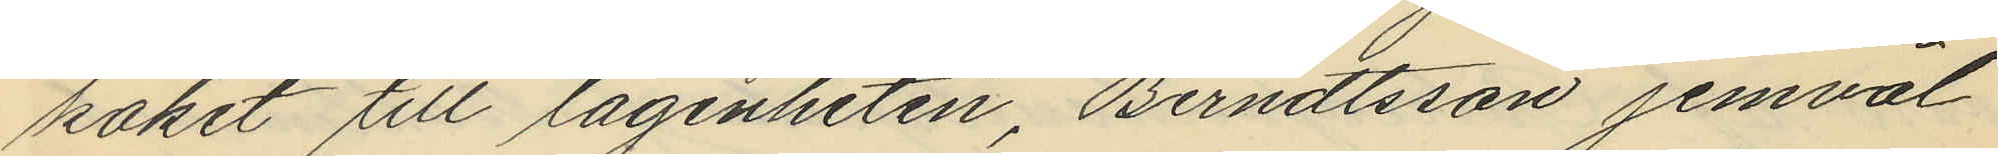köket till lägenheten, Berndtsson jemväl
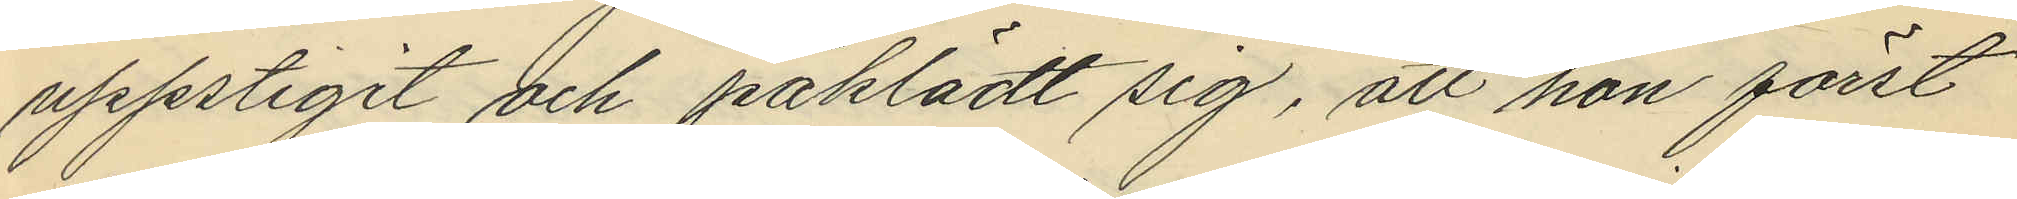uppstigit och påklädt sig, att hon först
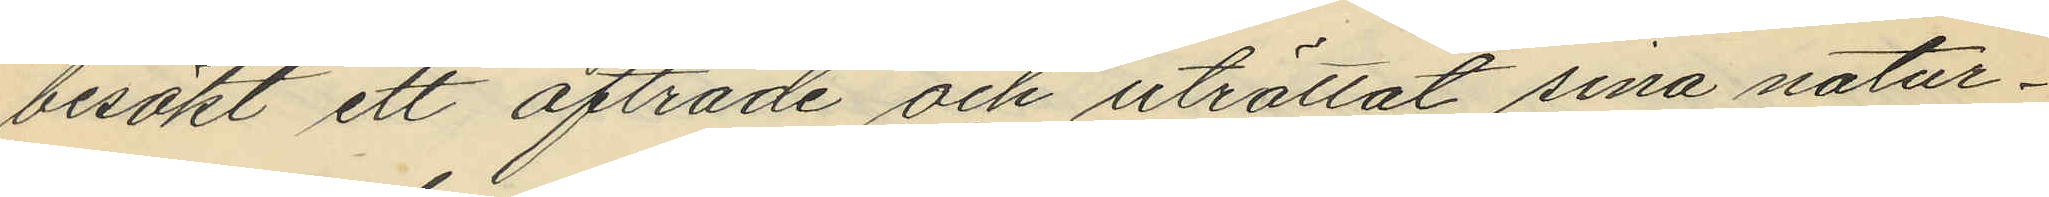besökt ett afträde och uträttat sina natur¬
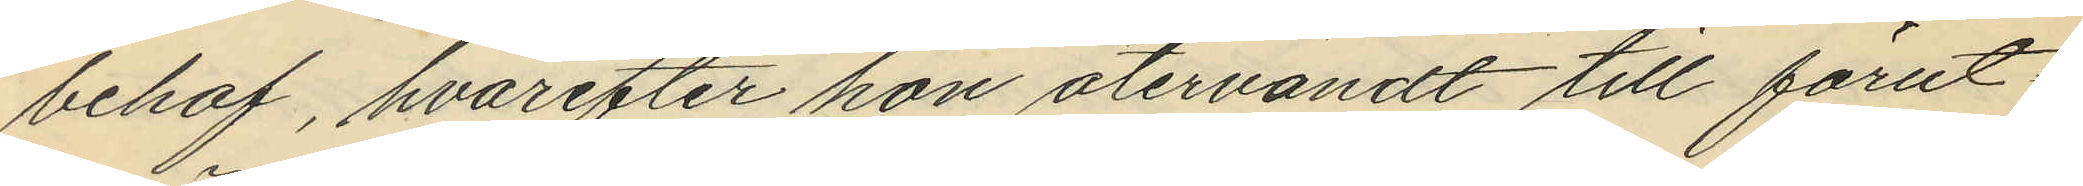behof, hvarefter hon återvändt till förut¬
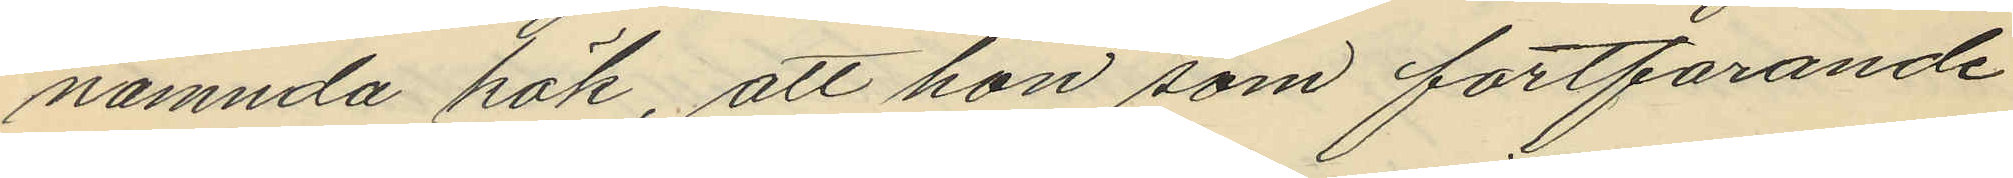nämnda kök, att hon som fortfarande
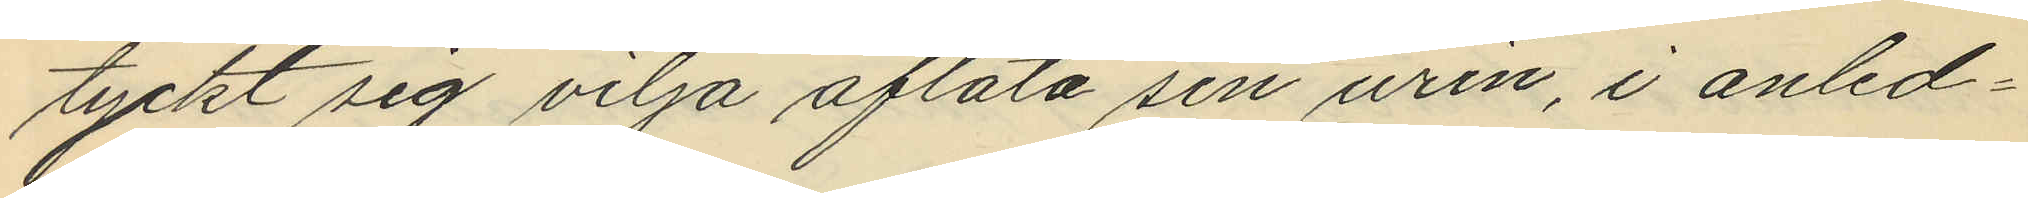tyckt sig vilja aflåta sin urin, i anled¬
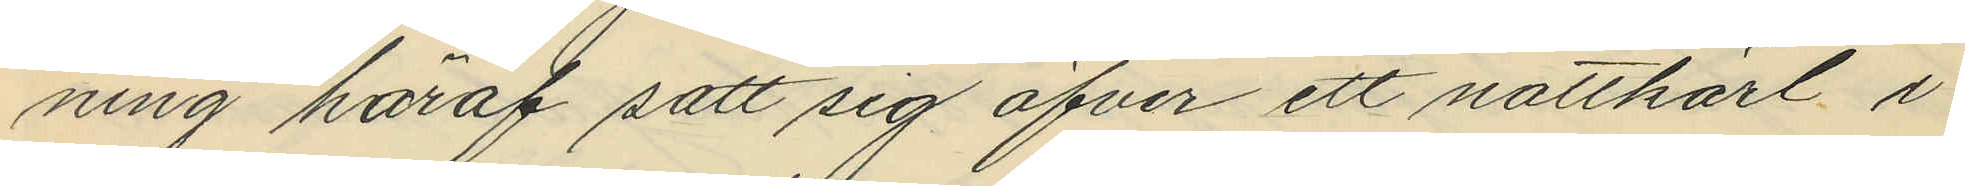ning häraf satt sig öfver ett nattkärl i
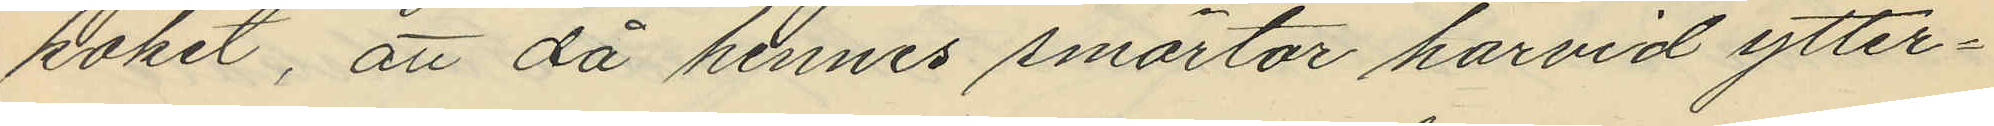köket, att då hennes smärtor harvid ytter¬
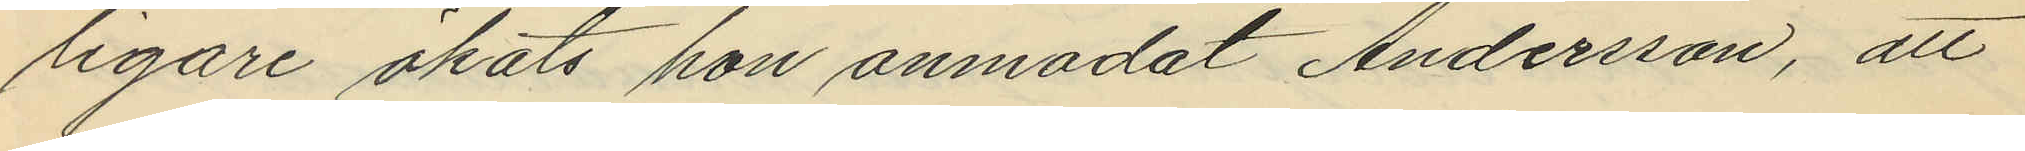ligare ökats hon anmodat Andersson, att
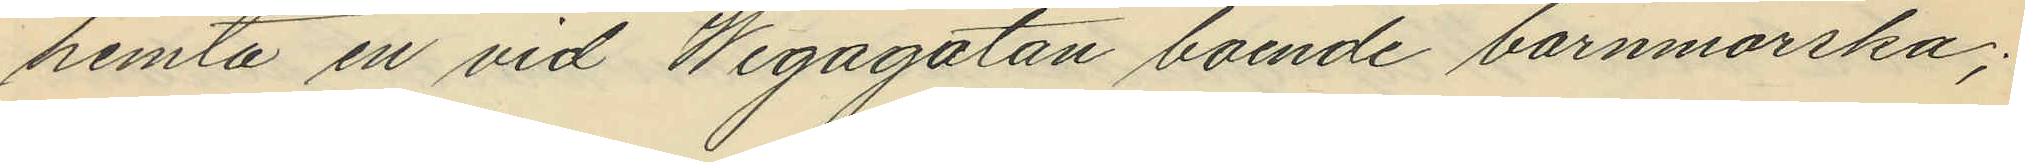hemta en vid Wegagatan boende barnmorska;
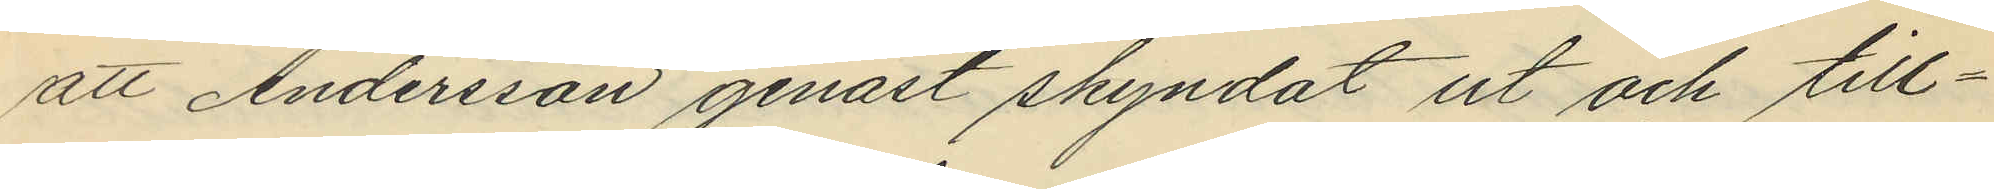att Andersson genast skyndat ut och till¬
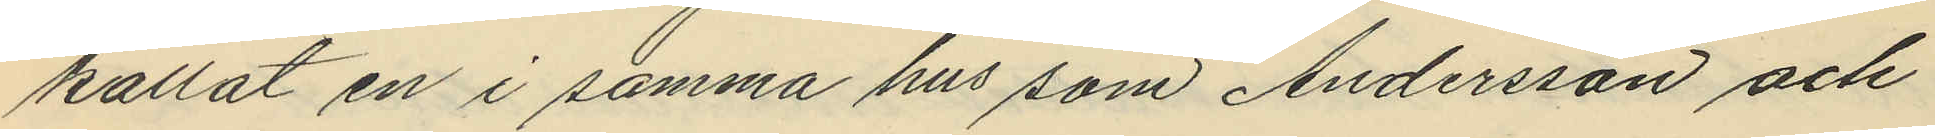kallat en i samma hus som Andersson och
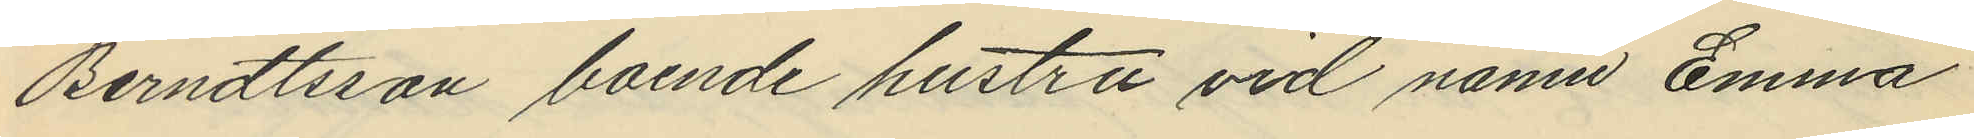Berndtsson boende hustru vid namn Emma
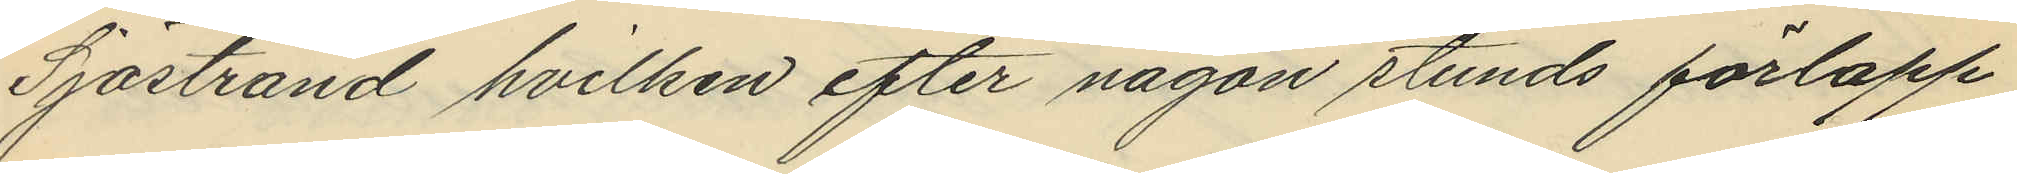Sjöstrand hvilken efter någon stunds förlopp
